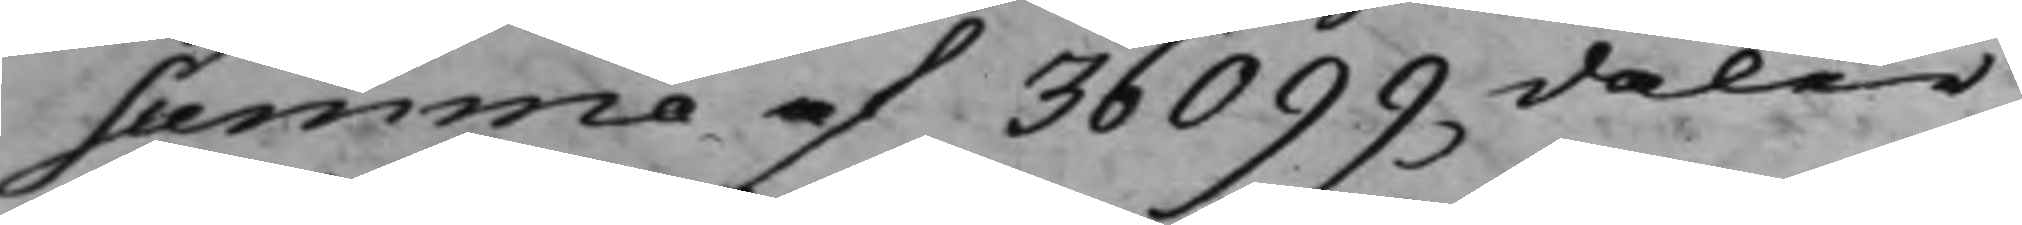summa af 36099 daler
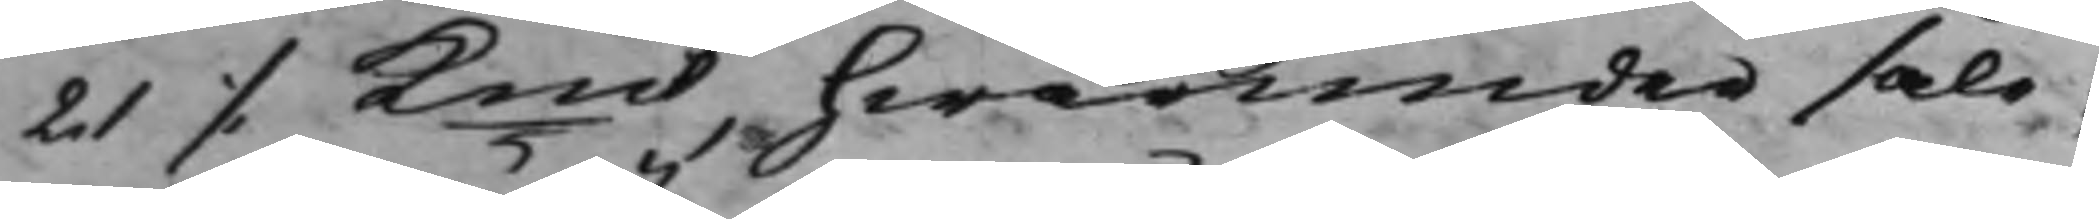21 ./. Kmt, hwarunder såle¬
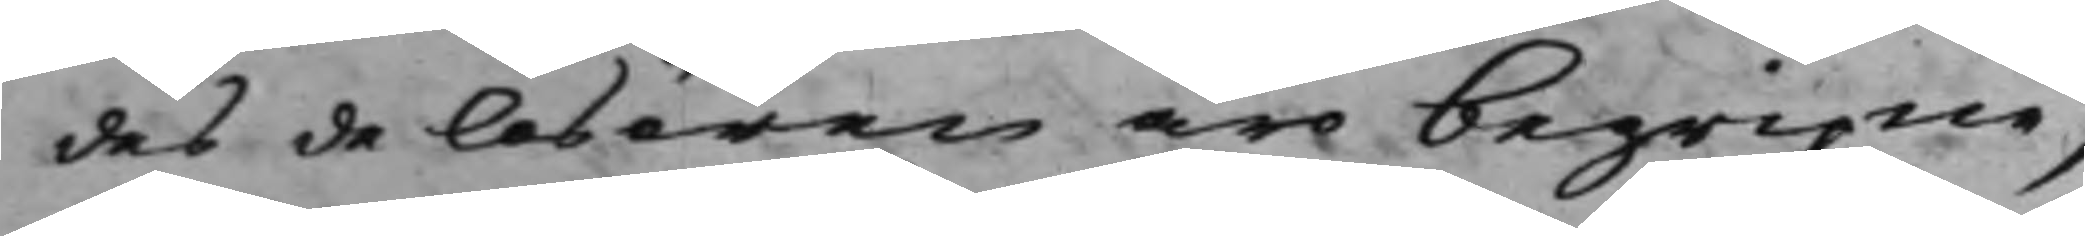des de lösören äro begripne,
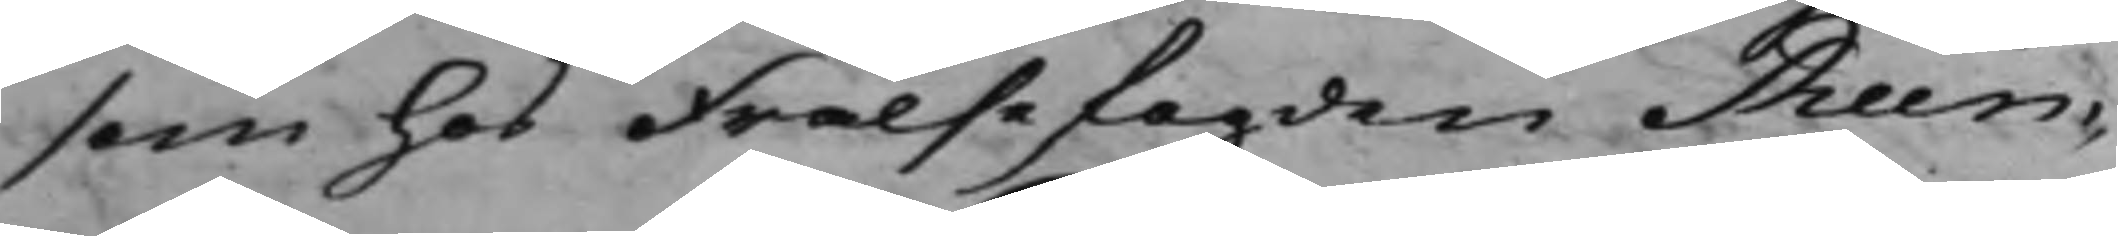som hos Frälsefogden Reen¬
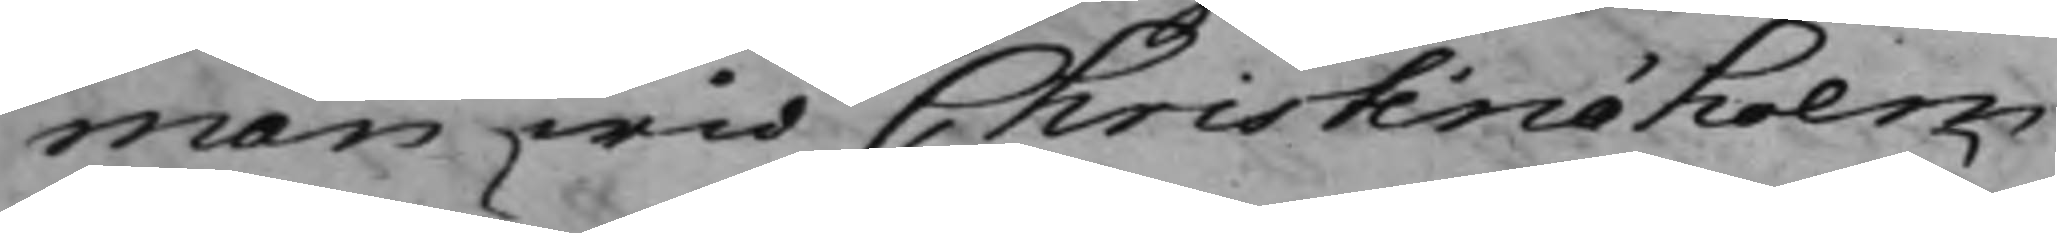man wid Christinæholm
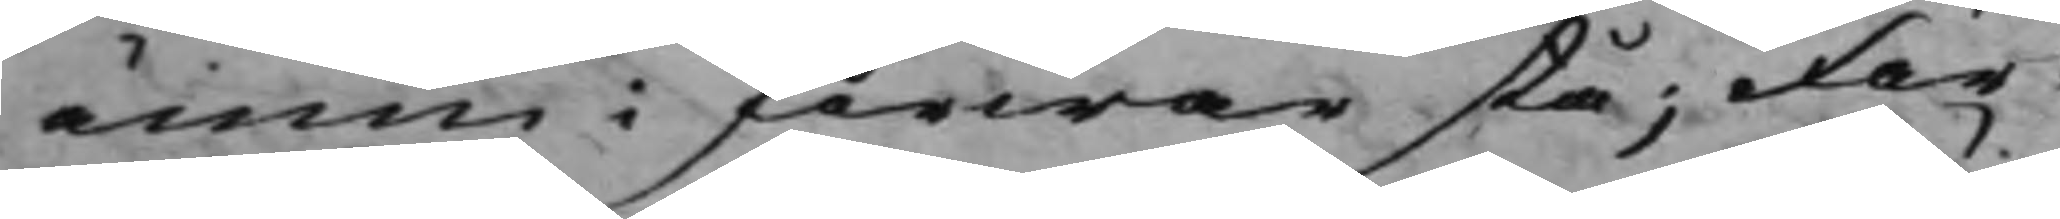ännu i förwar stå; För¬
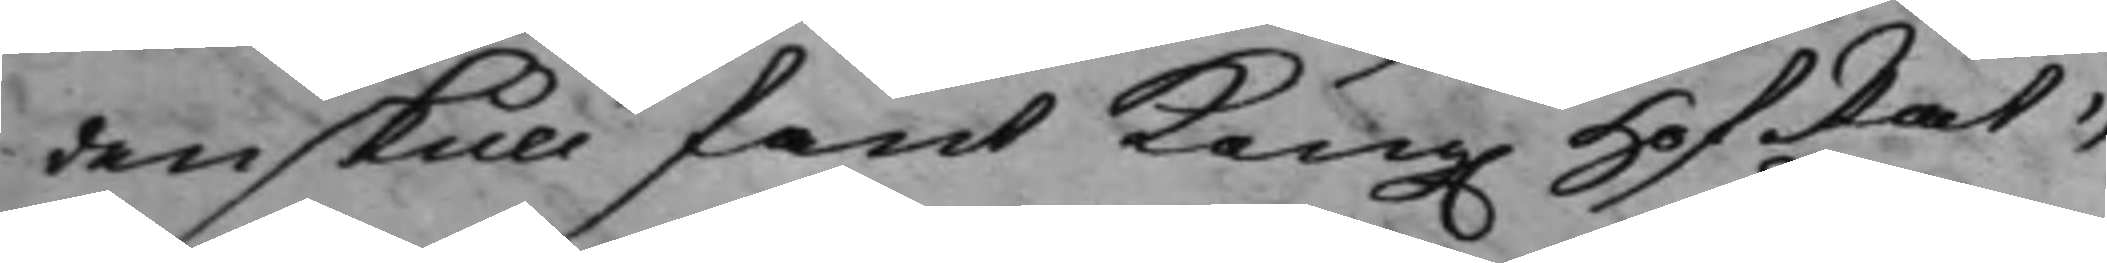denskull fant Kong. HofRät¬
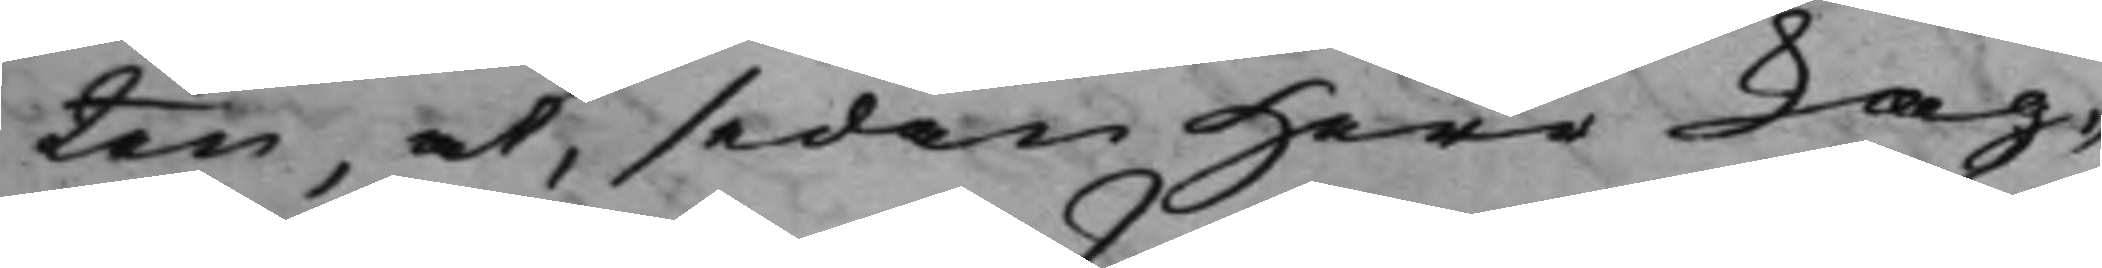ten, at, sedan Herr Lag¬
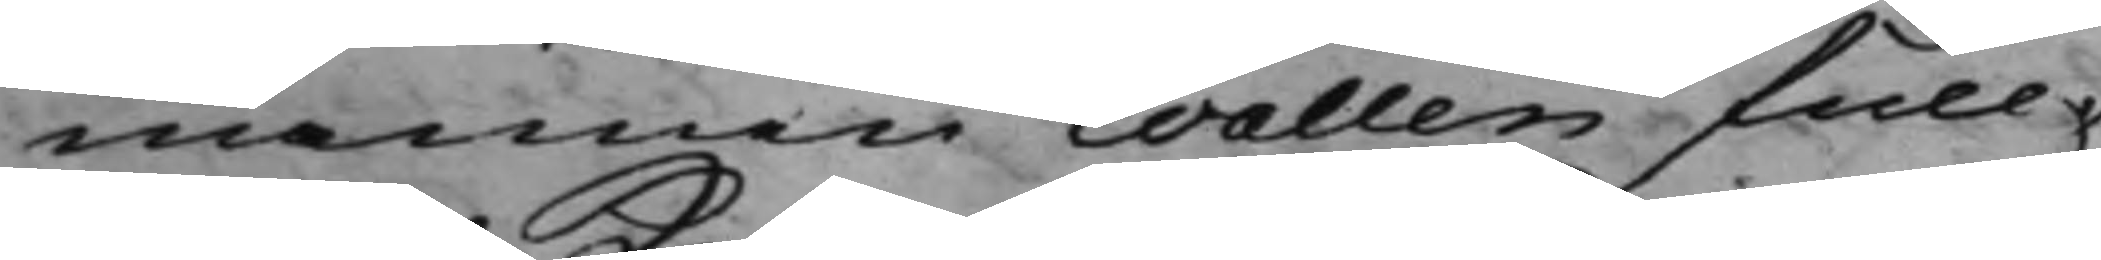mannen Wallen full¬
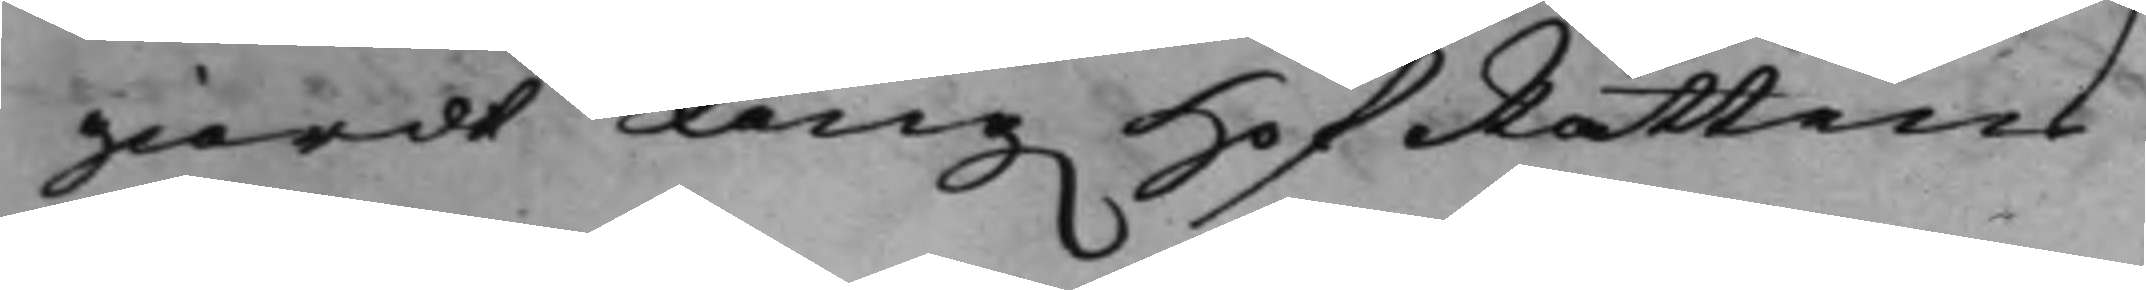giordt Kong. HofRättens
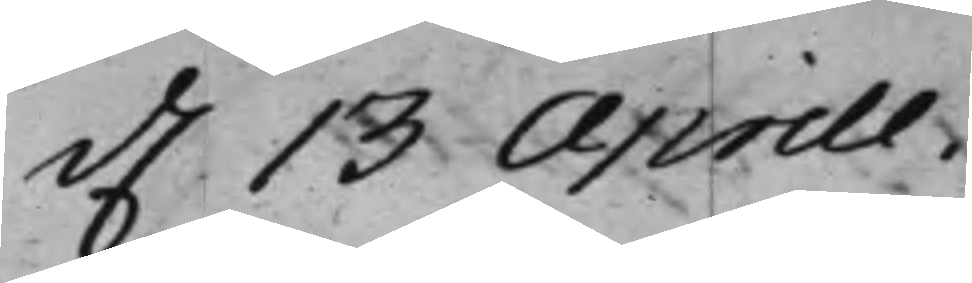d. 13 Aprill.
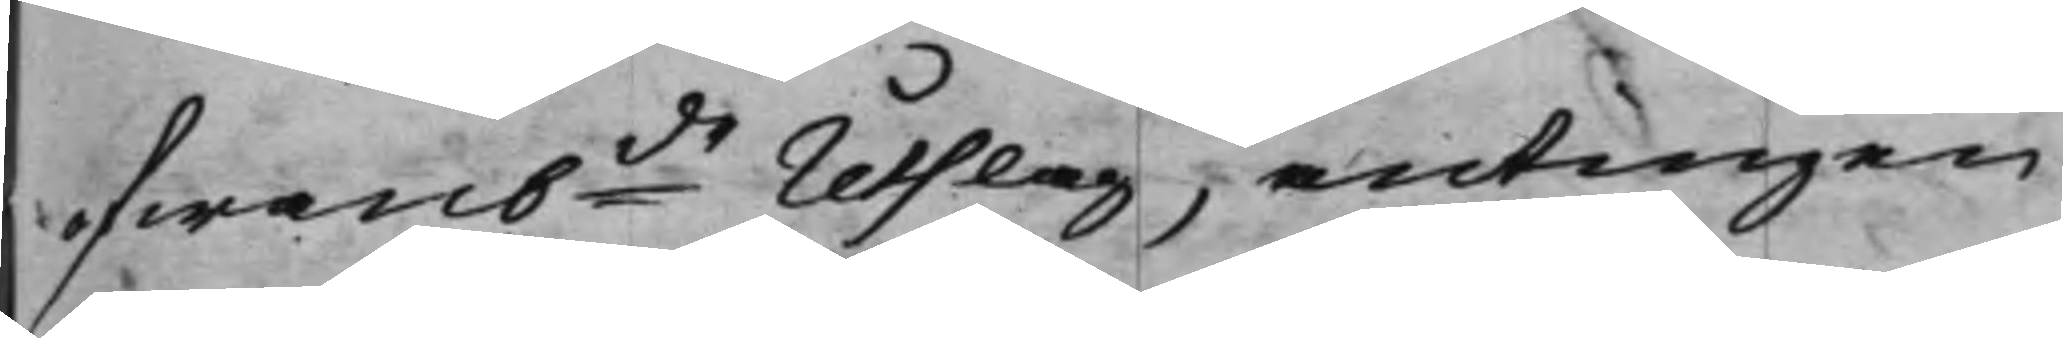ofwanbde Utslag, antingen
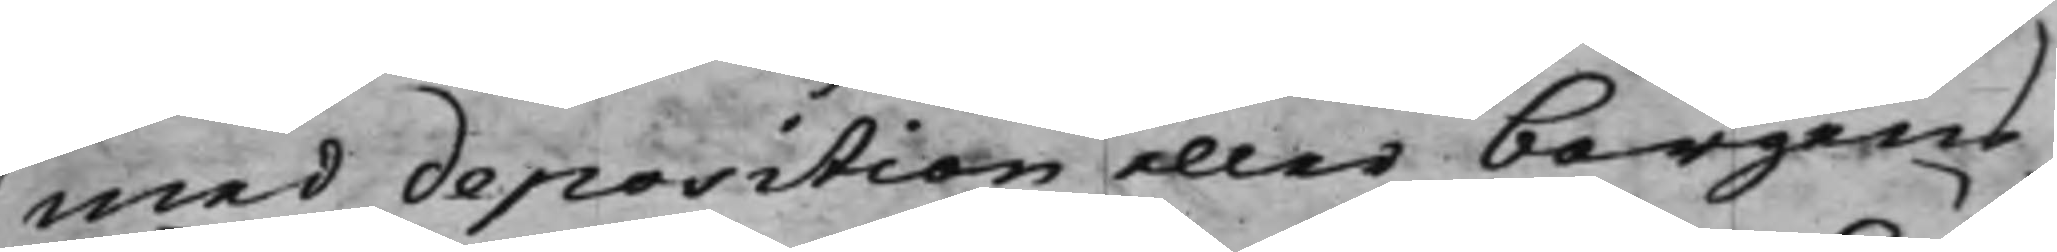med deposition eller borgens
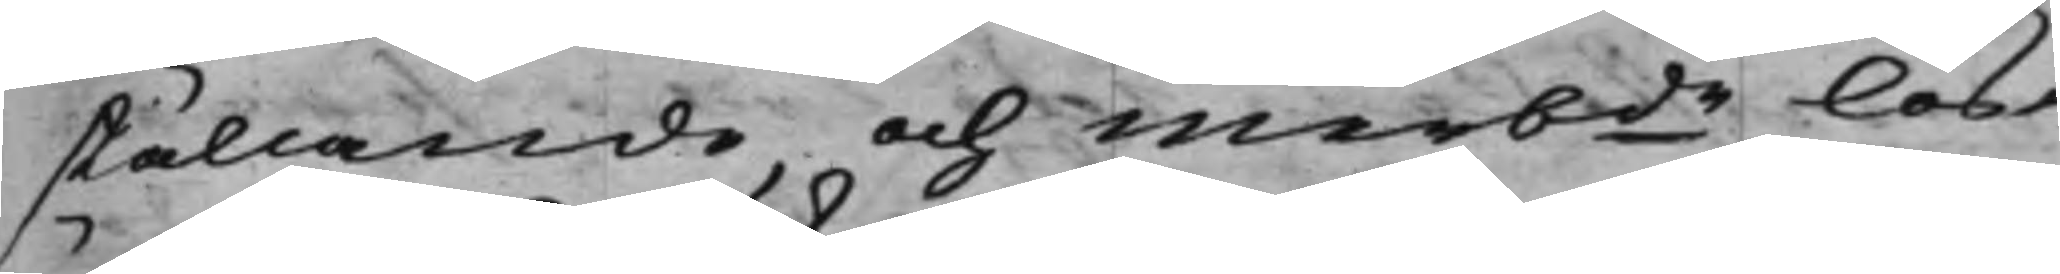ställande, och merbde lös¬
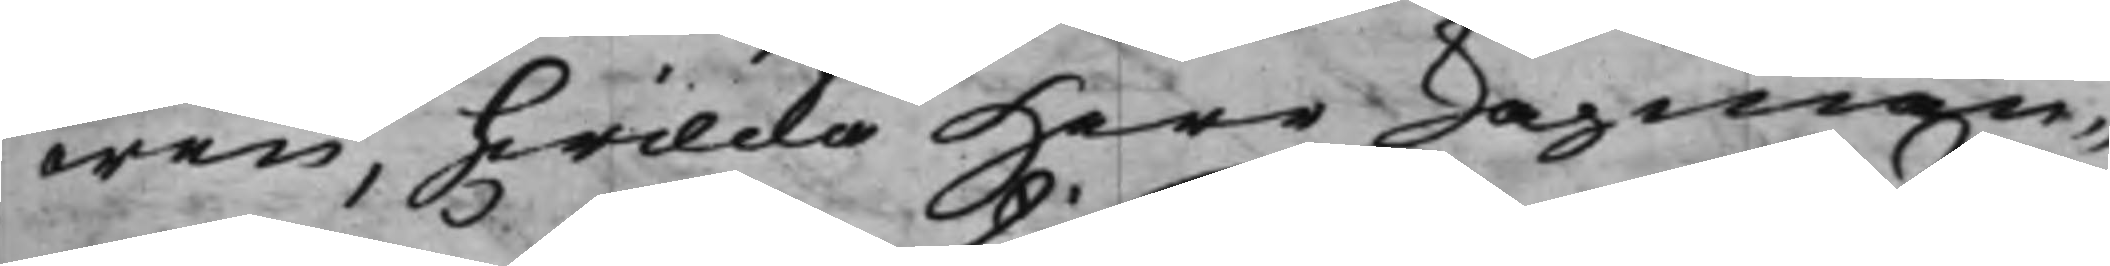ören, hwilcka Herr Lagman¬
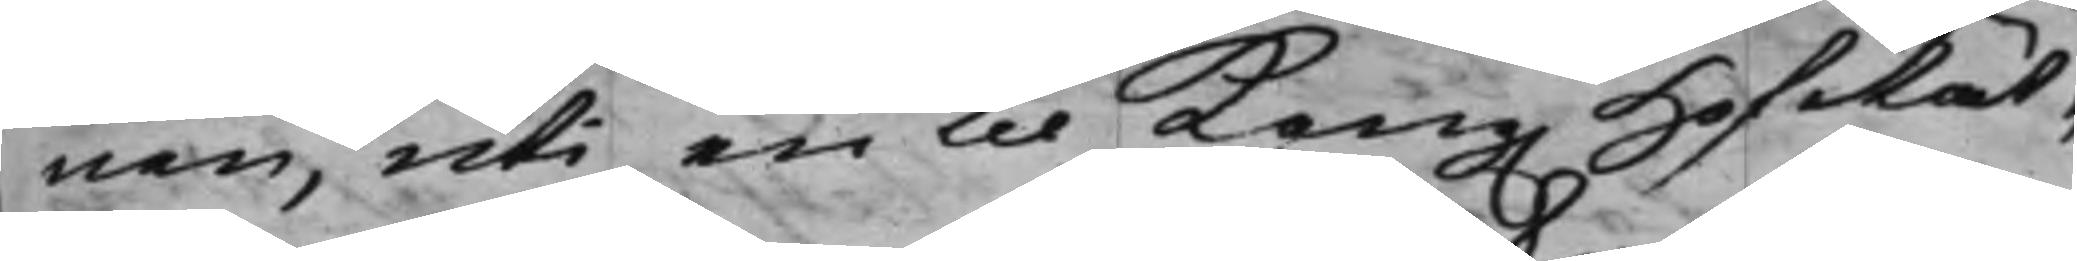nen, uti en til Kong. HofRät¬
